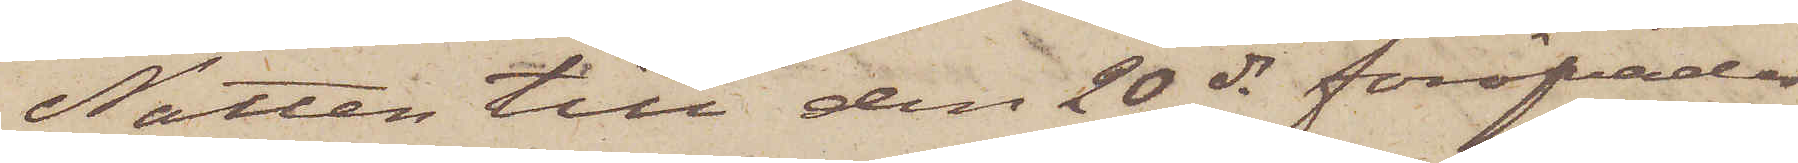Natten till den 20 ds föröfvades
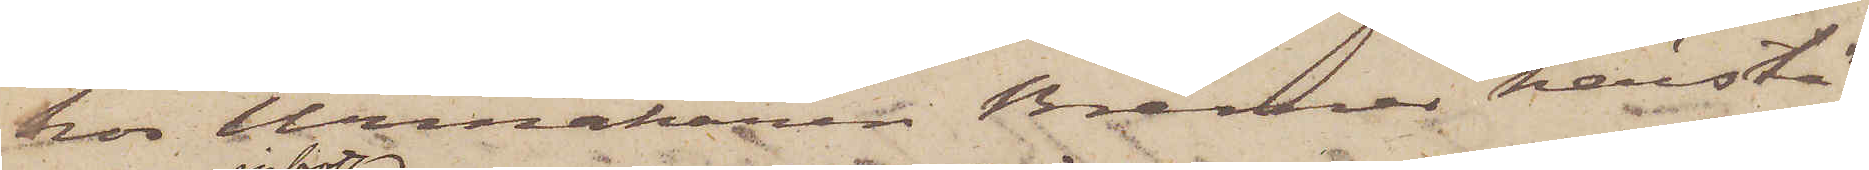hos Urmakaren Bremer härstä¬
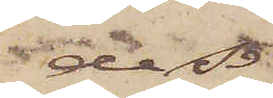des
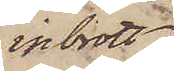inbrott
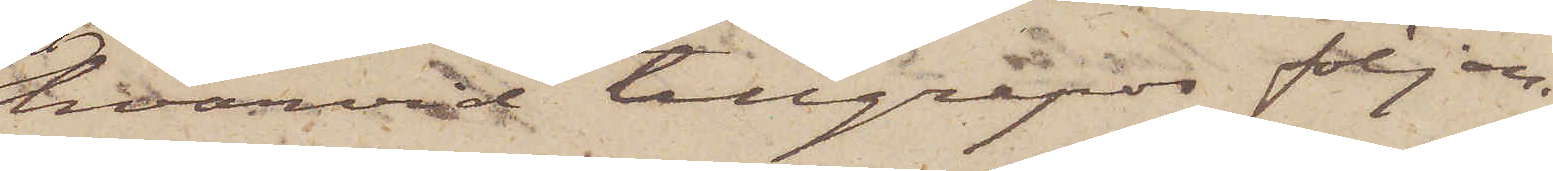hvarvid tillgripos följan¬
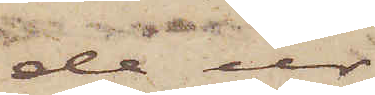de ur
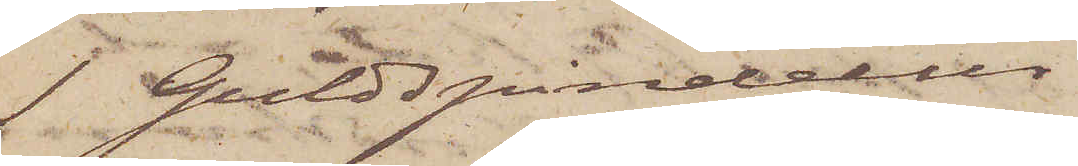1 Guldspindelur
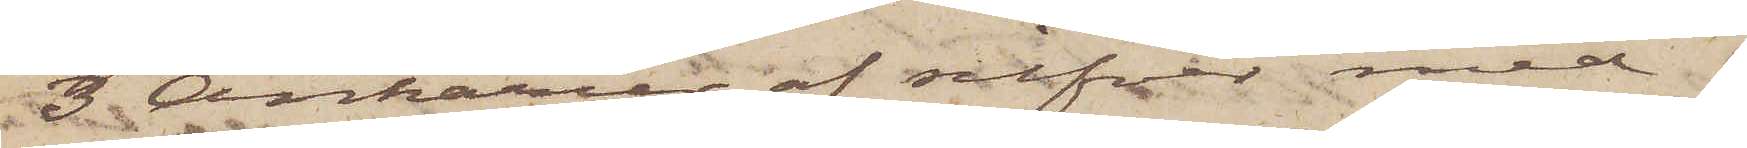3 Ankarur af silfver med 
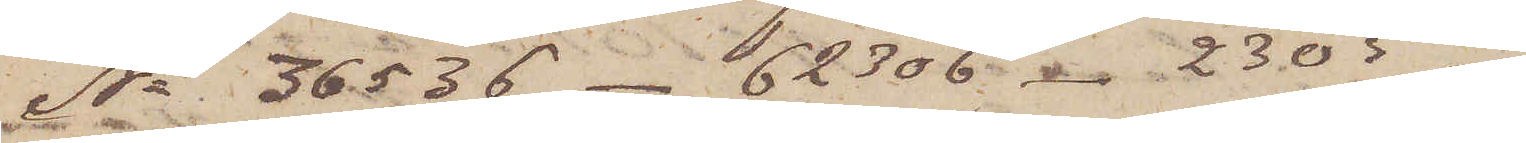No 36536 - 62306 - 2305 -
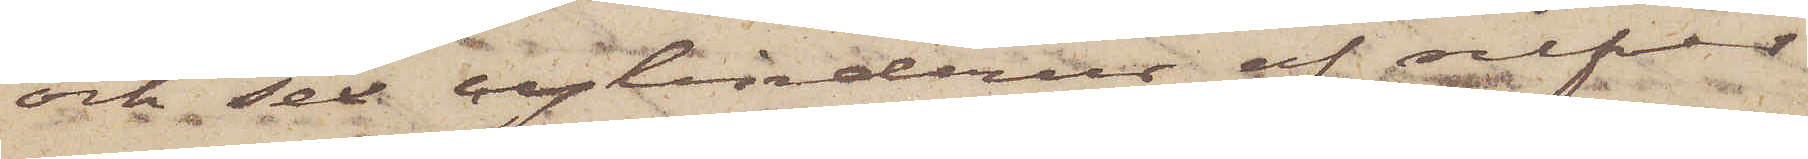och sex cylinderur af silfver
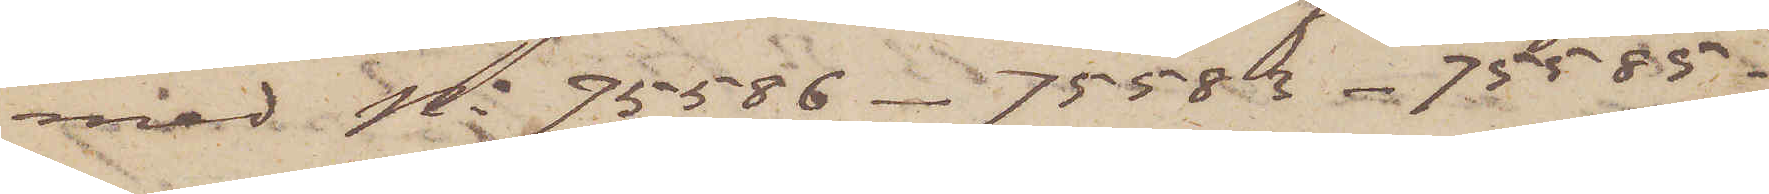med No 75586 - 75583 - 75585 -
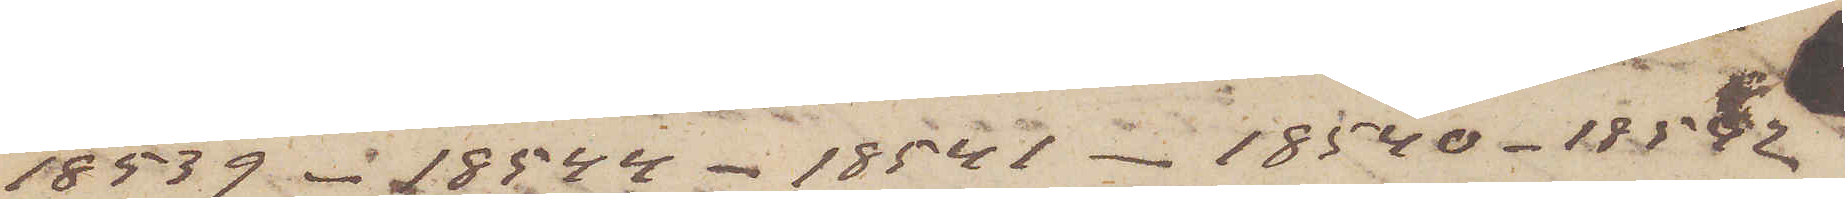18539 - 18544 - 18541 - 18540 - 18592
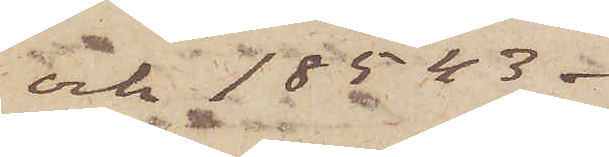och 18543 -
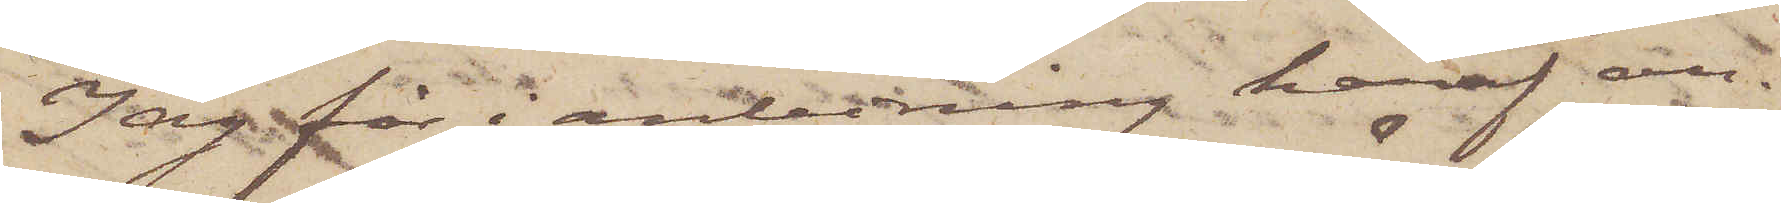Jag får i anledning häraf an¬
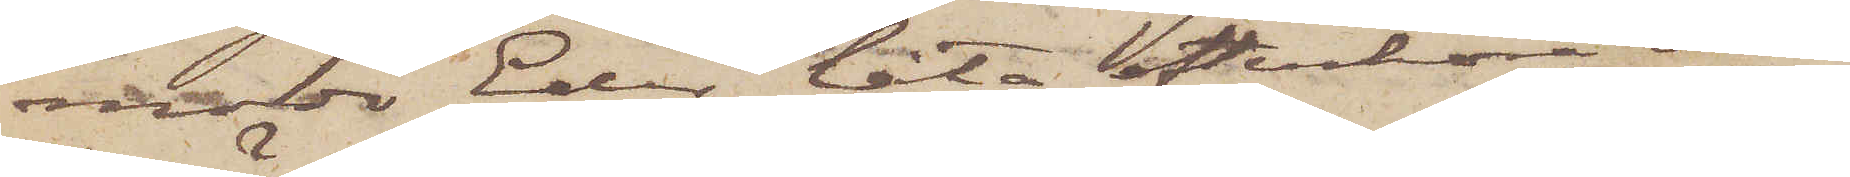moda Eder låta efterhöra om
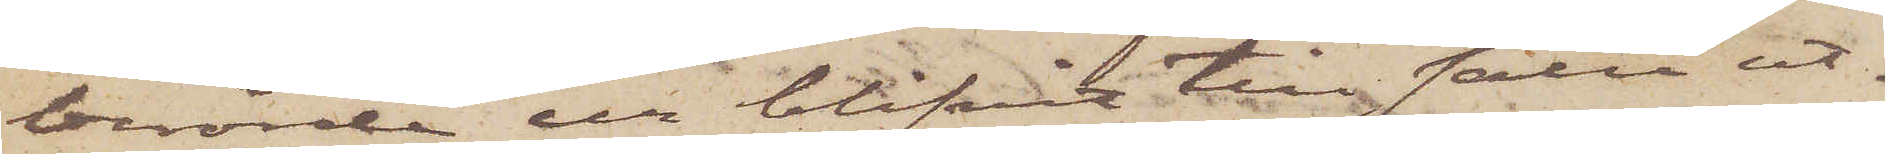berörde ur blifvit till salu ut¬
